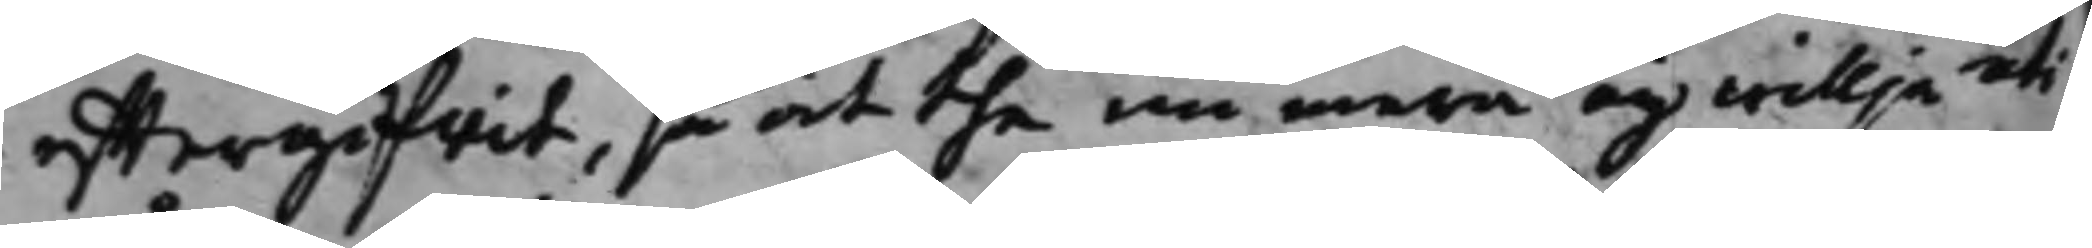efftergifwit, så at the nu mera eij willja uti
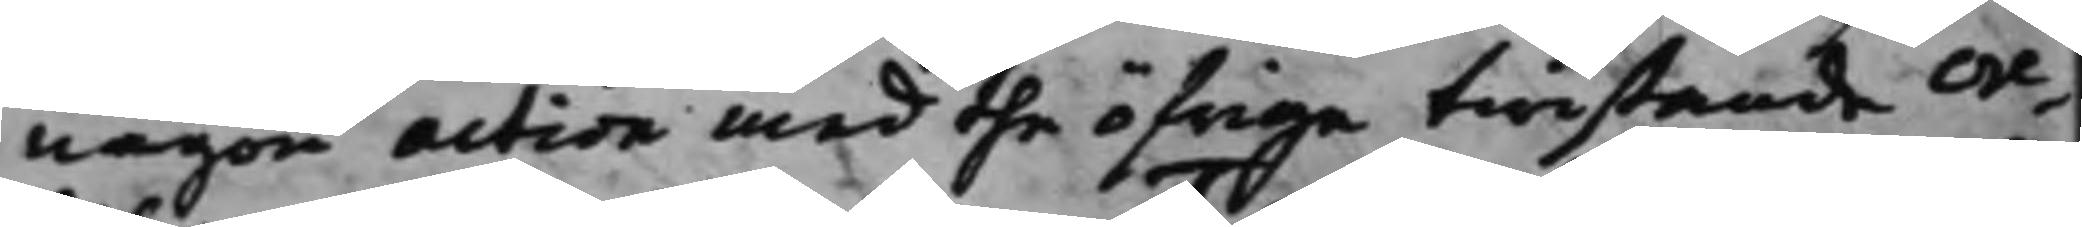någon action med the öfrige twistande cre¬
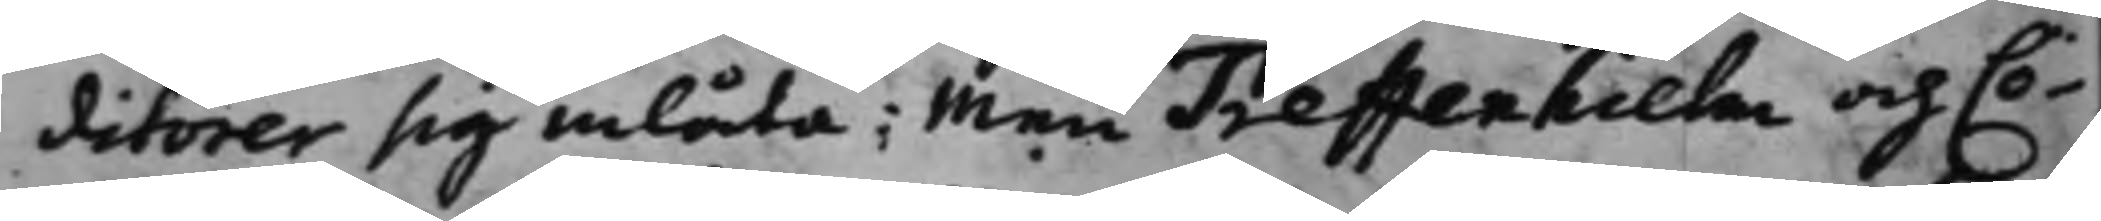ditorer sig inlåta; Men Treffenhielm och Cö¬
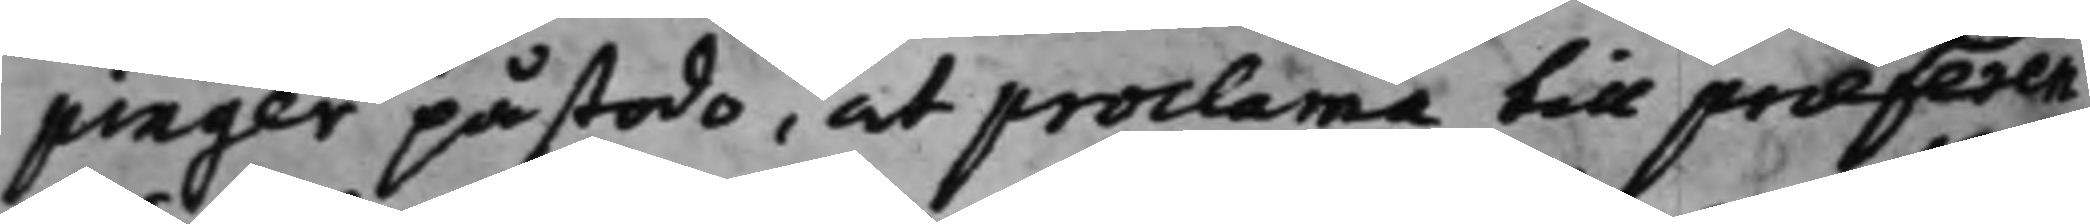pinger påstodo, at proclama till præferen¬
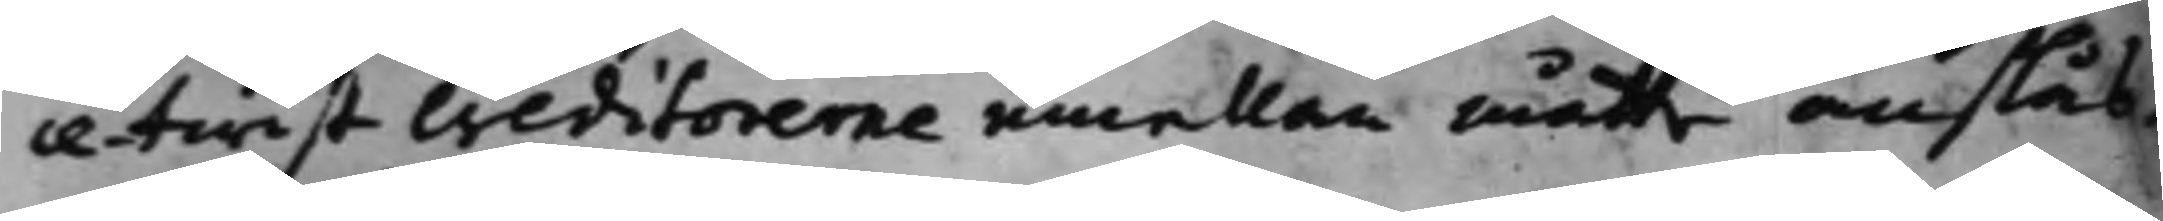ce-twist creditorerne emellan måtte anslås.
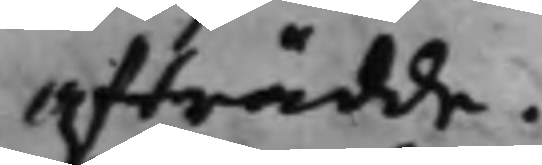afträdde.
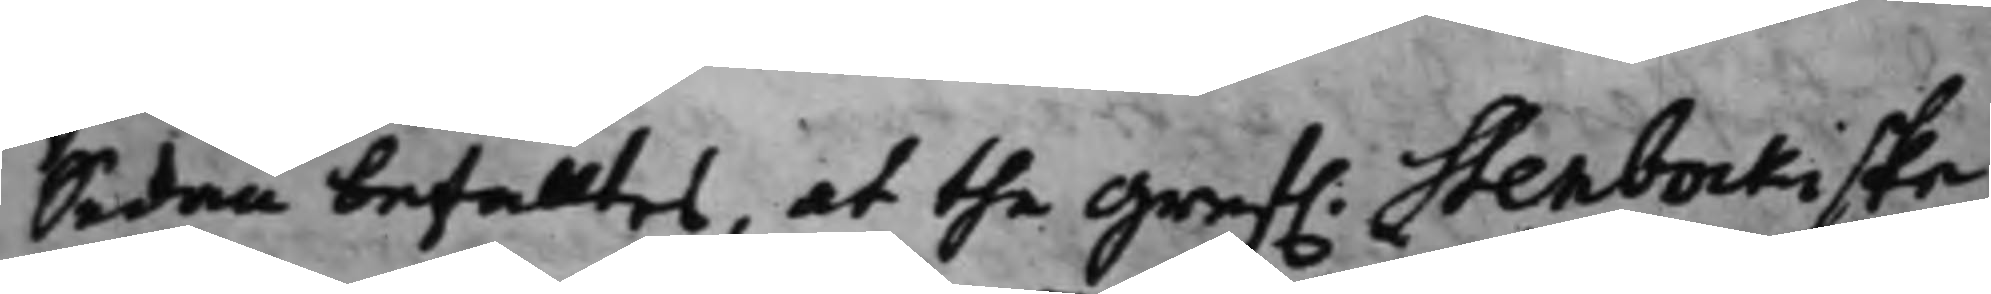Sedan befalltes, at the Gref. Stenbockiske
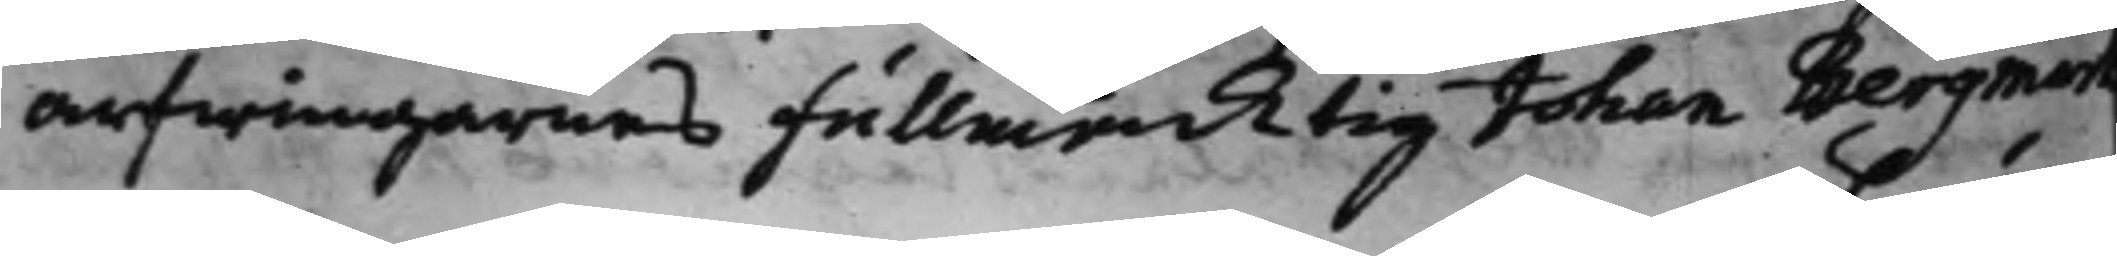arfwingarnes Fullmäcktig Johan Bergman
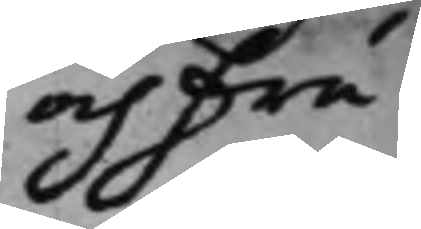och Fru
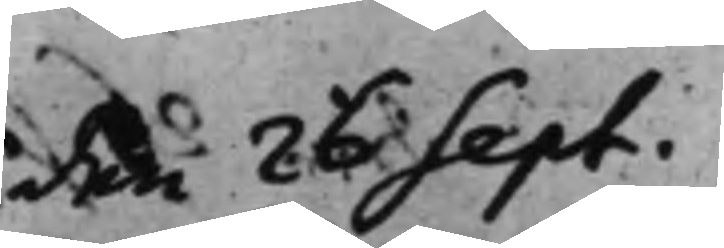den 28 Sept.
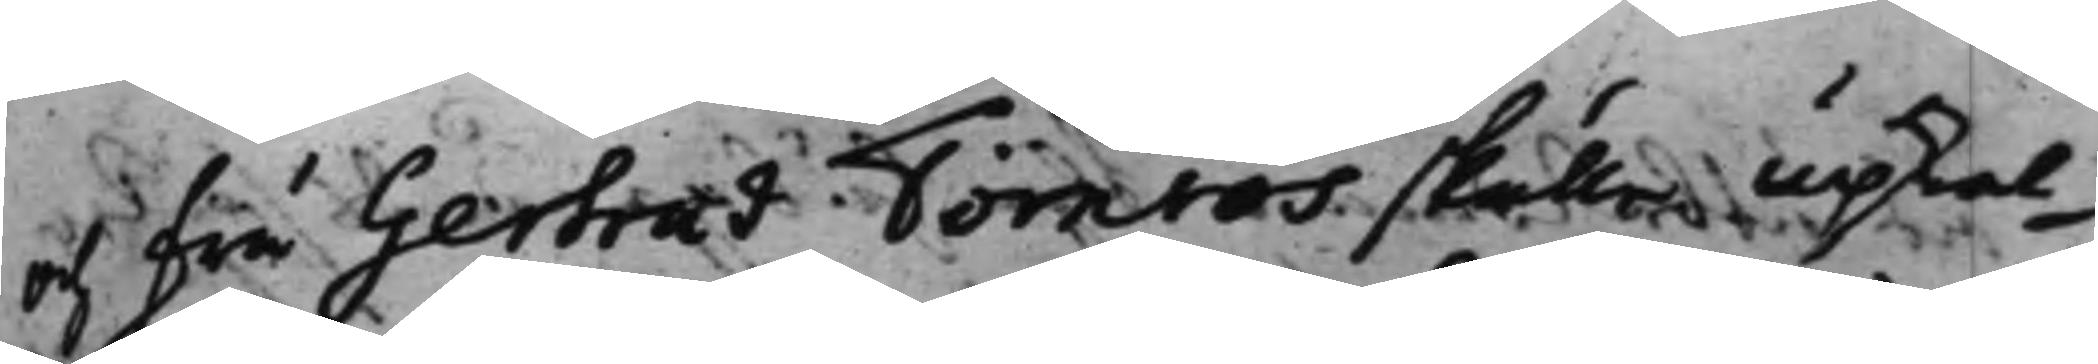och Fru Gertrud Törnros skulle upkal¬
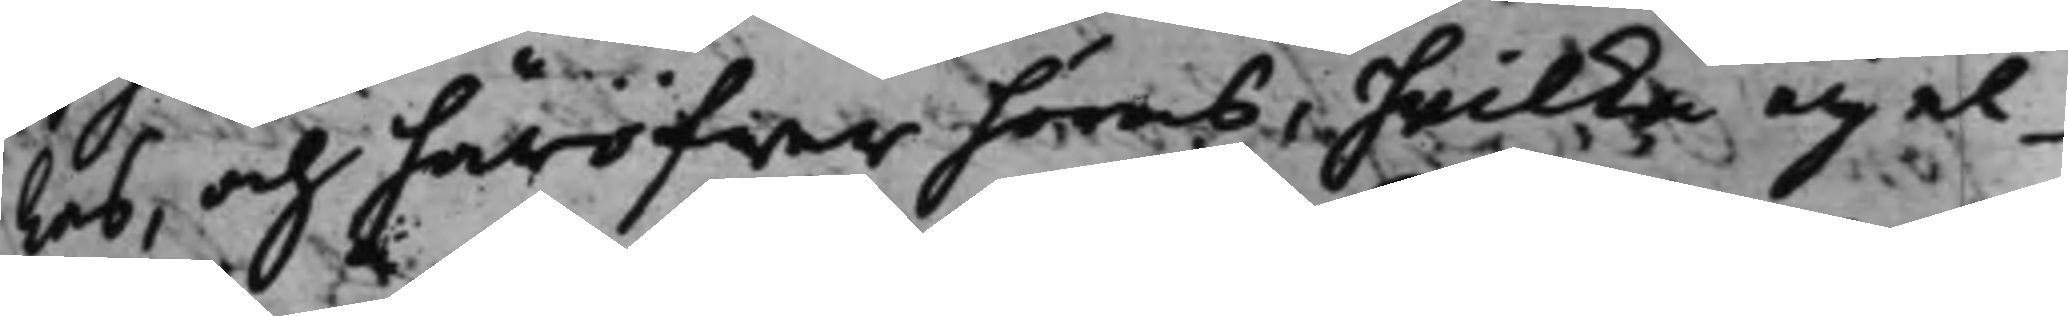las, och häröfwer höras, hwilka eij el¬
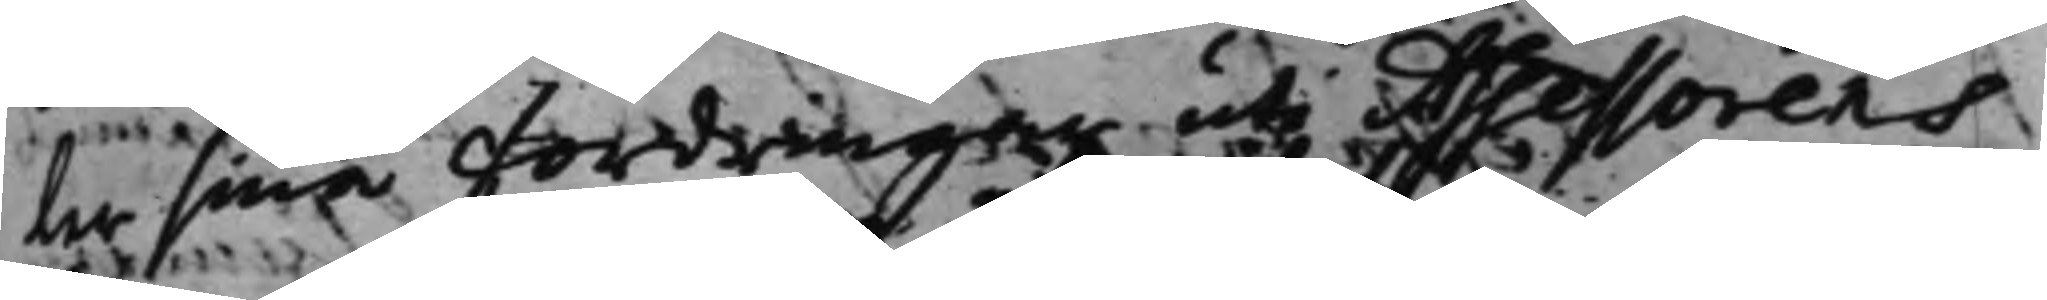ler sina fordringar uti Assessorens
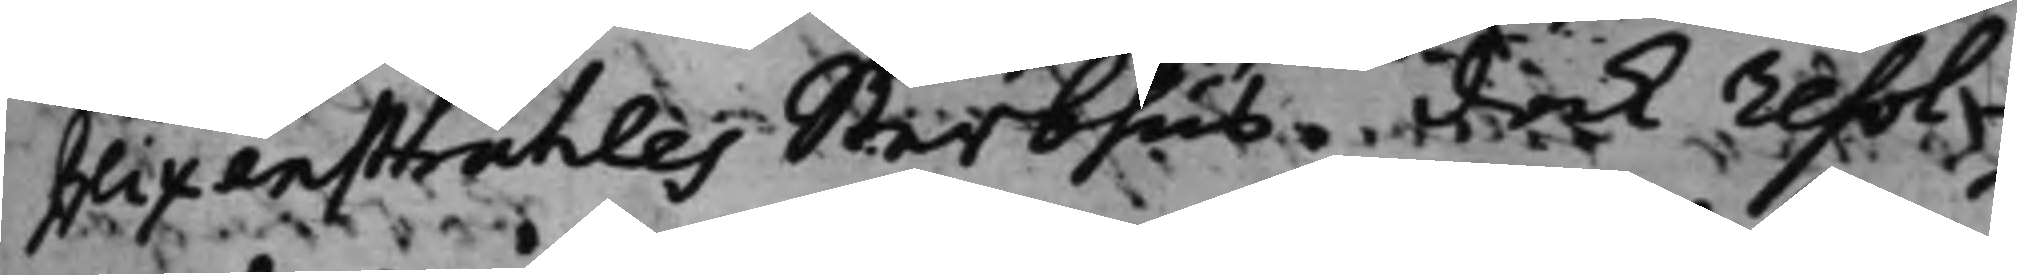Blixenstråhles Sterbhus, dock resol¬
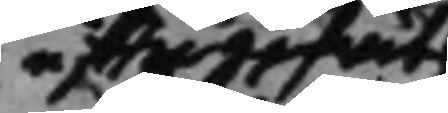efftergifwit
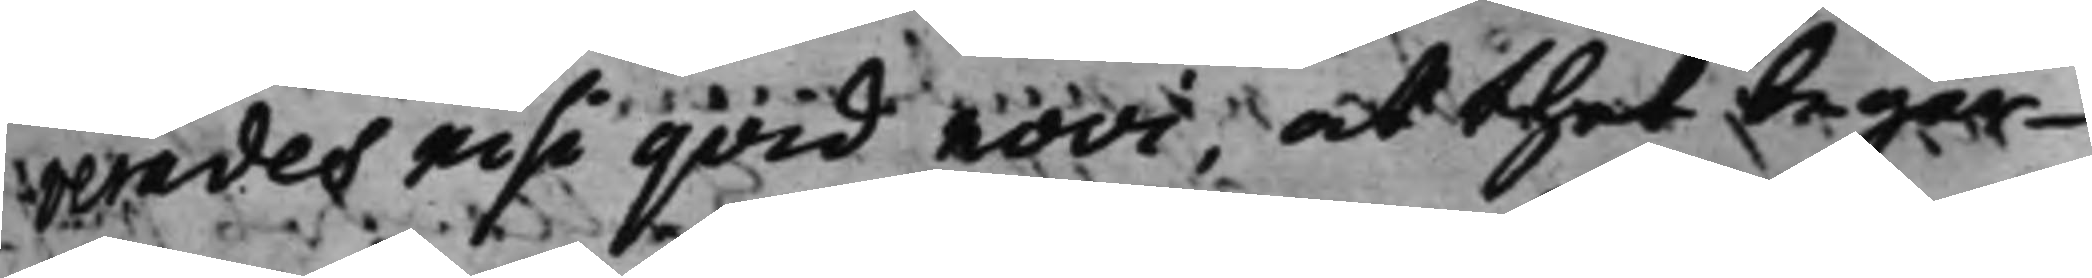verades nisi quid novi, at thet begär¬
